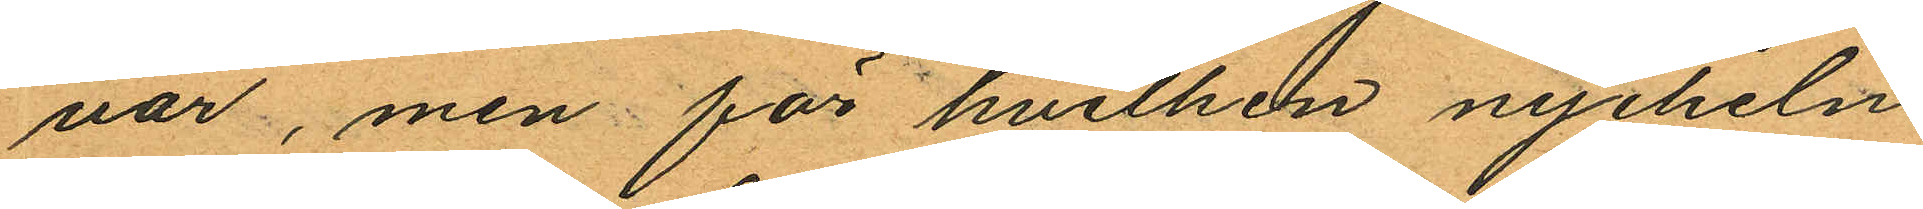var, men för hvilken nyckeln
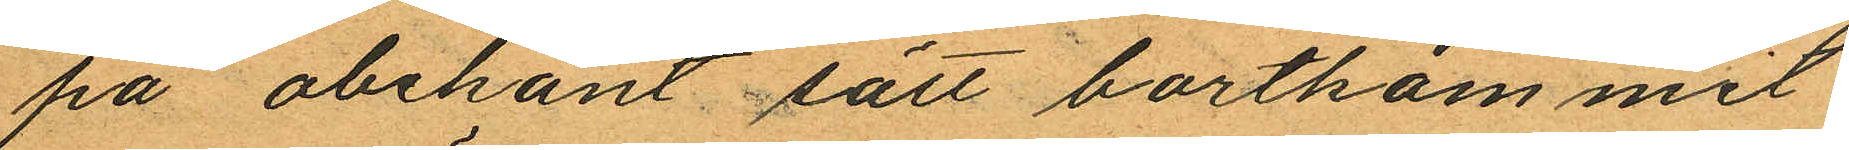på obekant sätt bortkommit
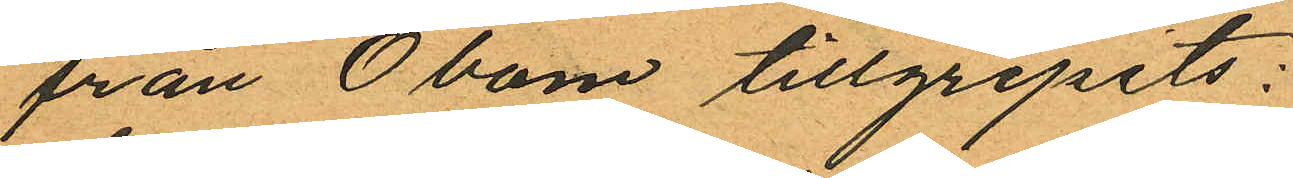från Öbom tillgripits:
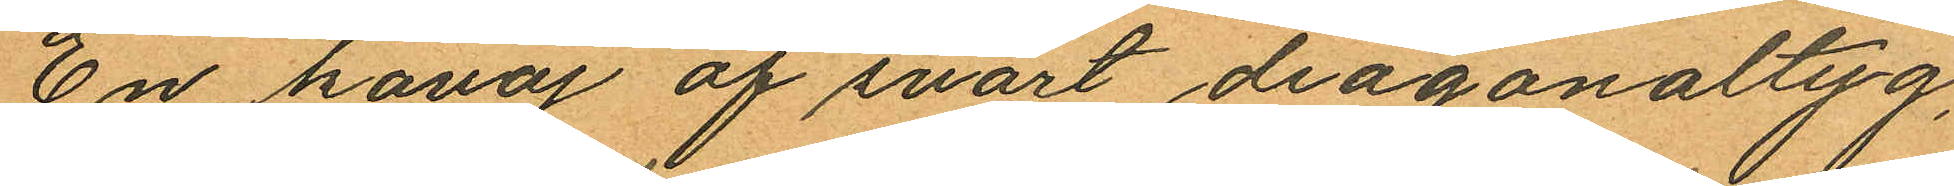En kavaj af svart diagonaltyg,
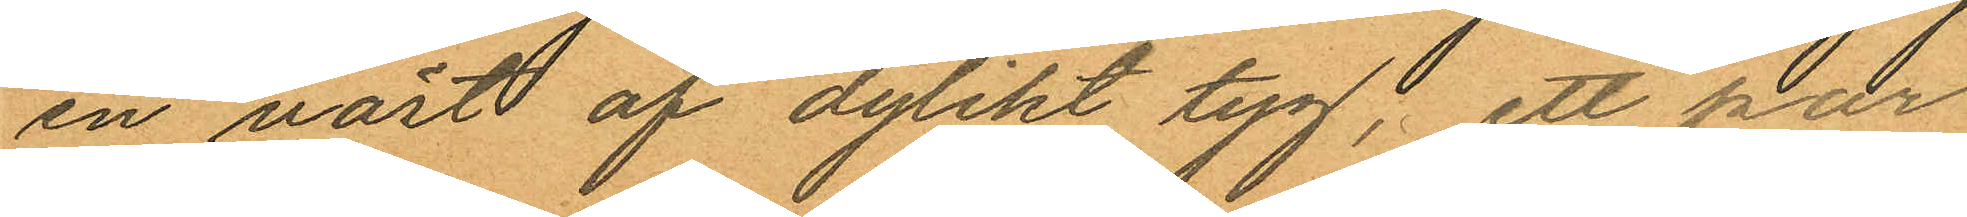en väst af dylikt tyg, ett par
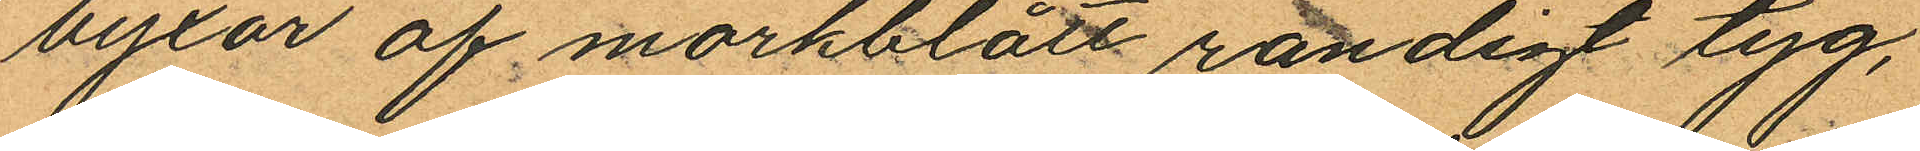byxor af mörkblått randigt tyg,
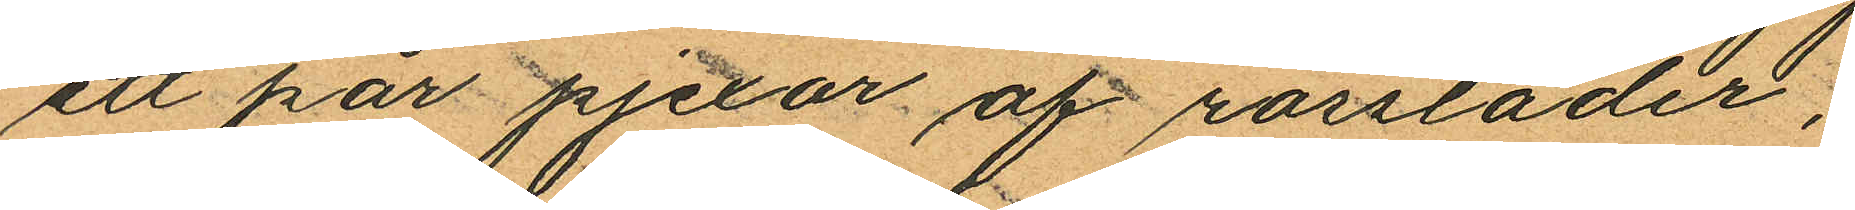ett har pjexor af rossläder;
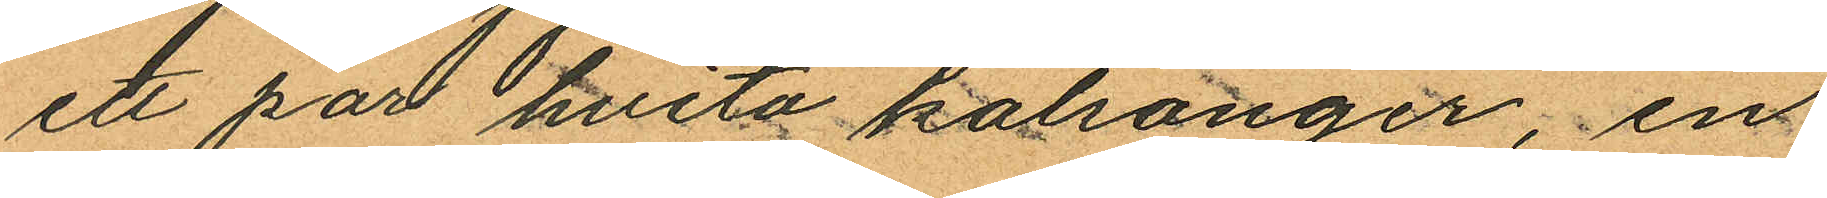ett par hvita kalsonger, en
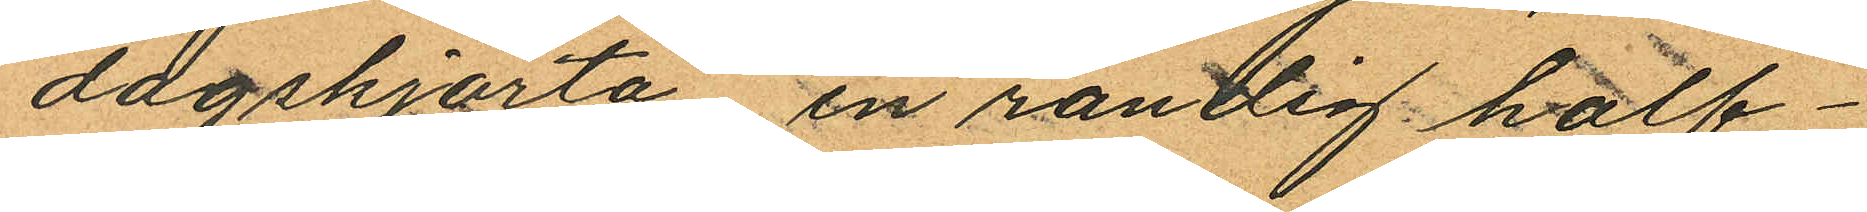dagskjorta en randig half¬
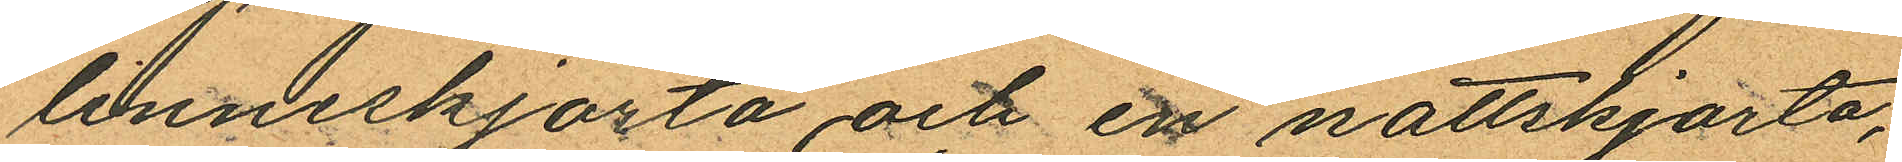linneskjorta och en nattskjorta,
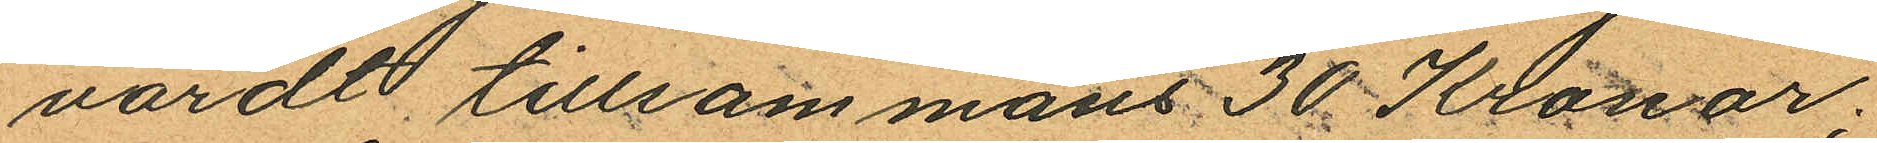värdt tillsammans 30 Kronor.
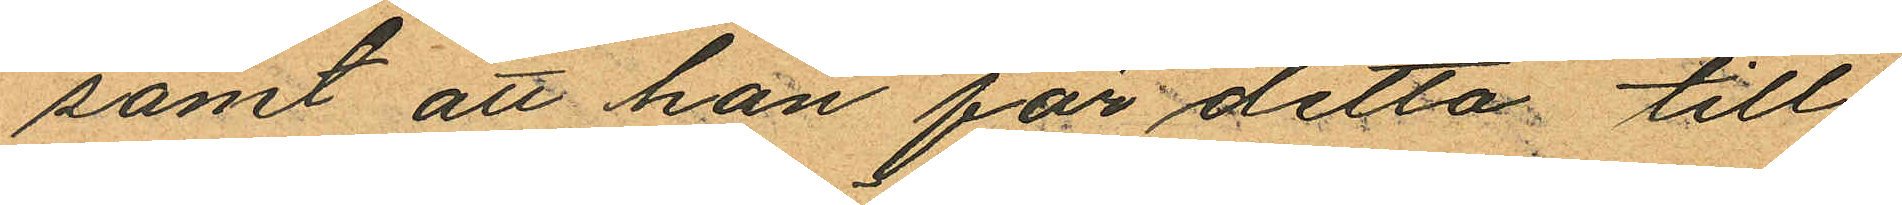samt att han för detta till
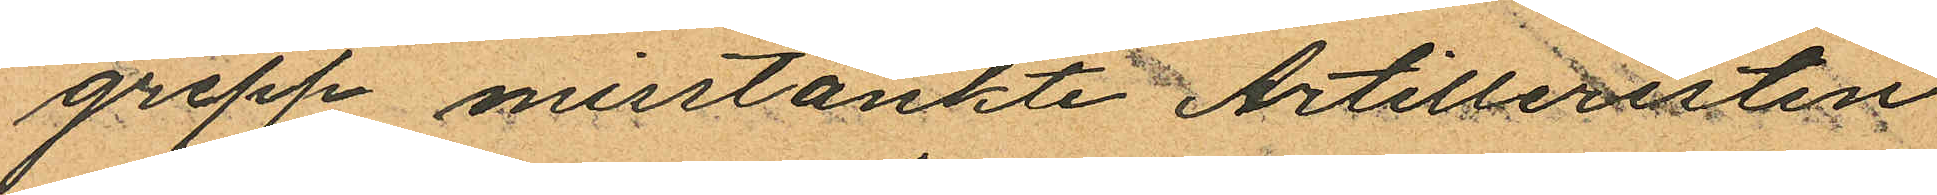grepp misstänkte Artilleristen
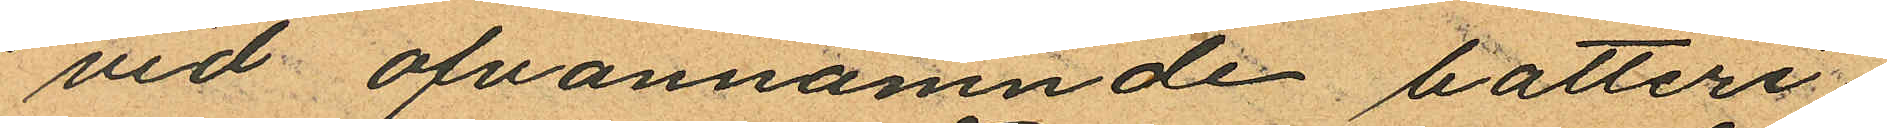vid ofvannämnde batteri
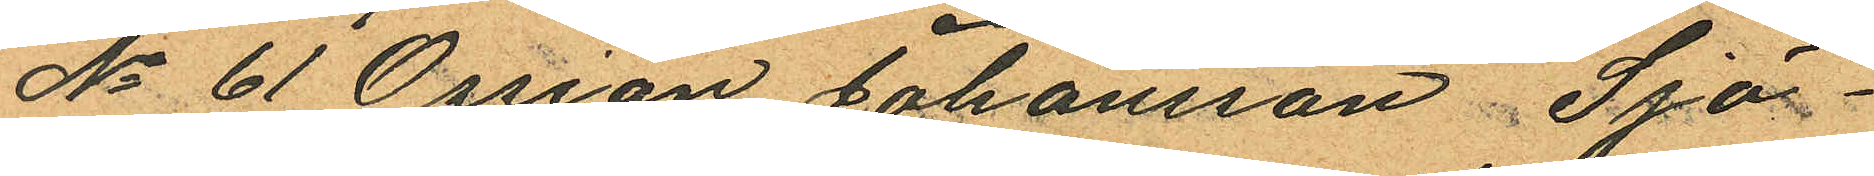No 61 Ossian Johansson Sjö¬
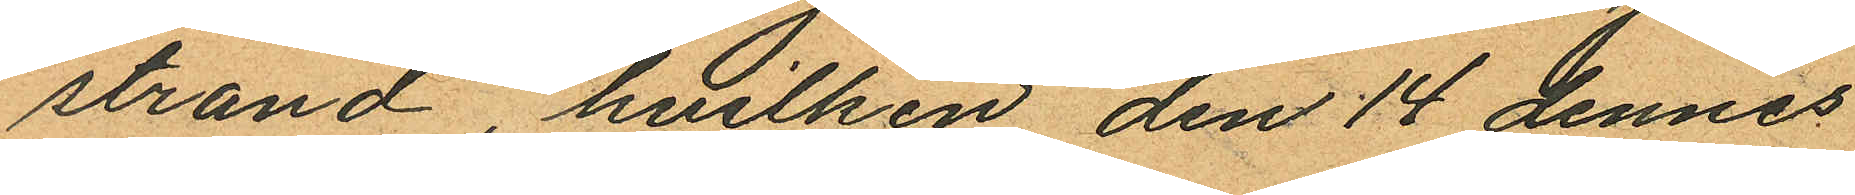strand, hvilken den 14 dennes
